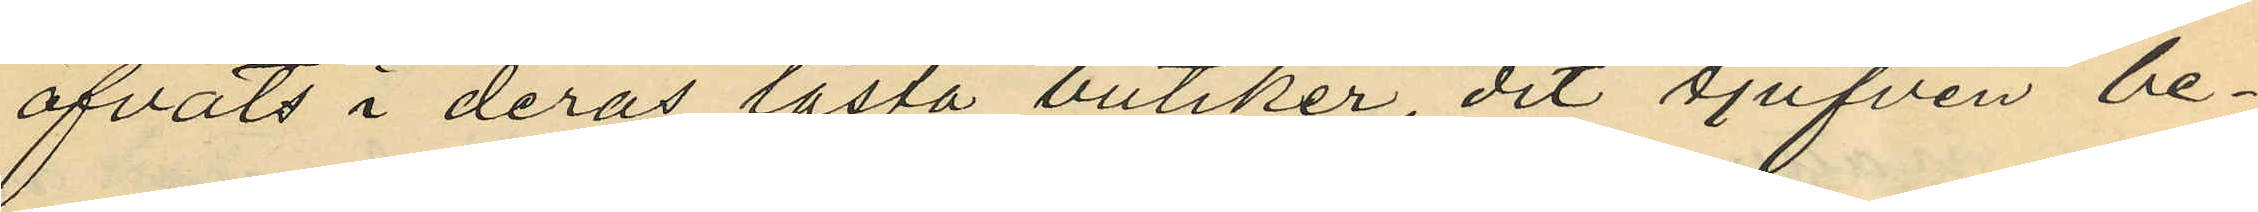öfvats i deras låsta butiker, dit tjufven be¬
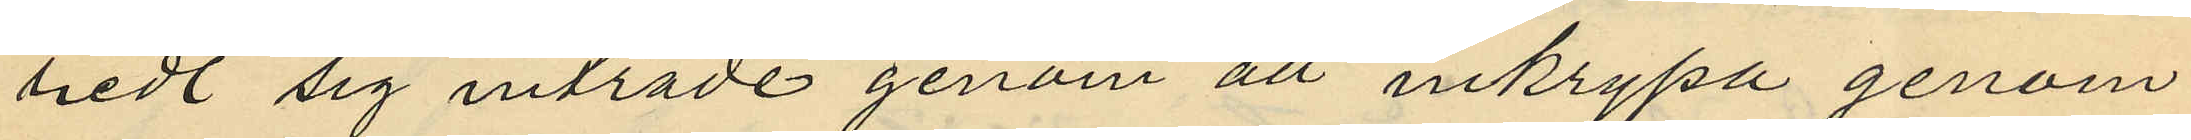bedt sig inträde genom att inkrypa genom
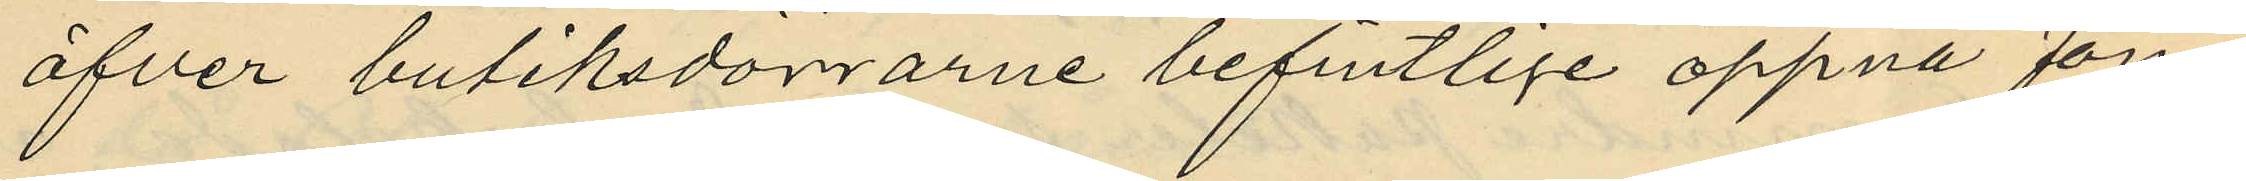öfver butiksdörrarne befintlige öppna fön¬
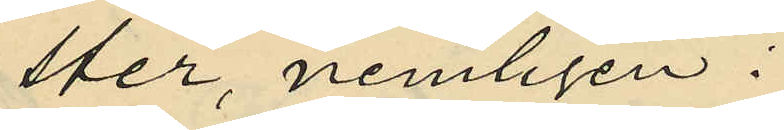ster, nemligen:
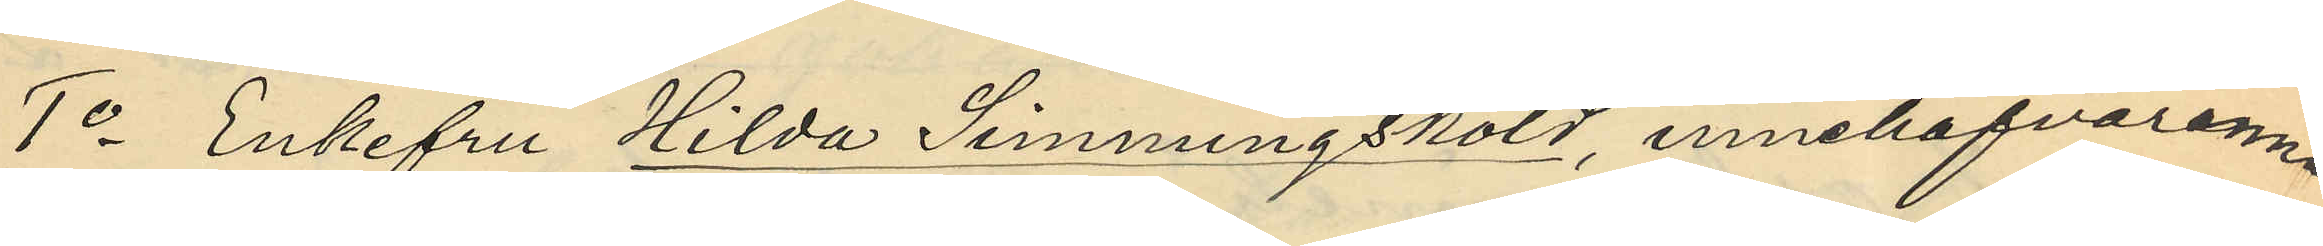1o Enkefru Hilda Simmingsköld, innehafvaren
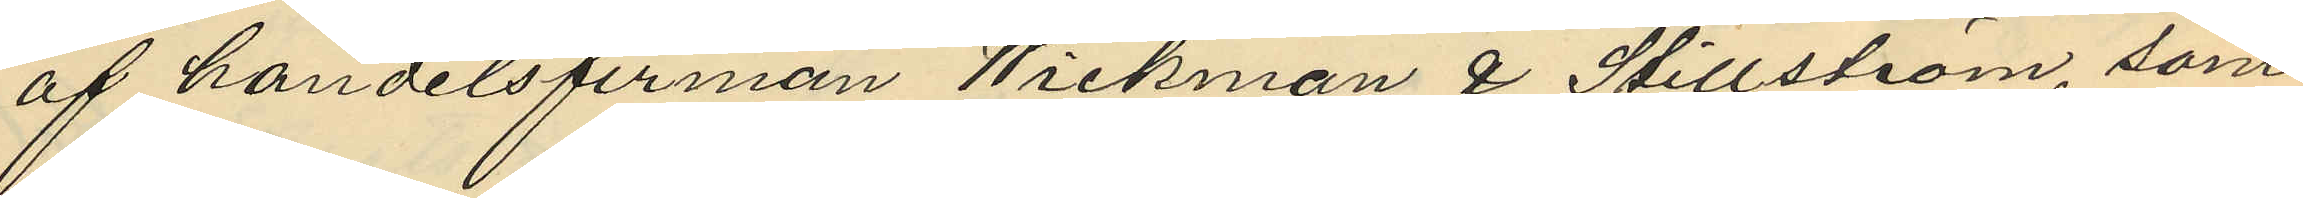af handelsfirman Wickman & Stillström, som
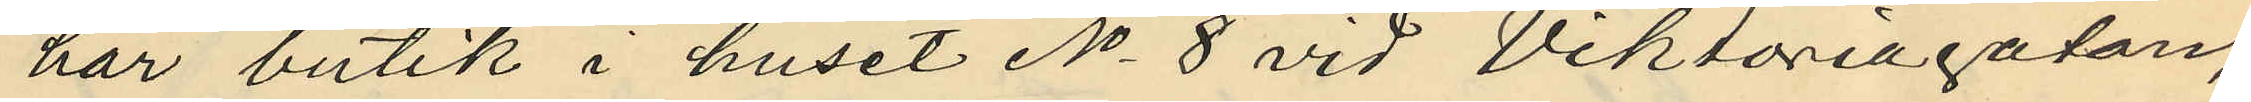har butik i huset No 8 vid Viktoriagatan,
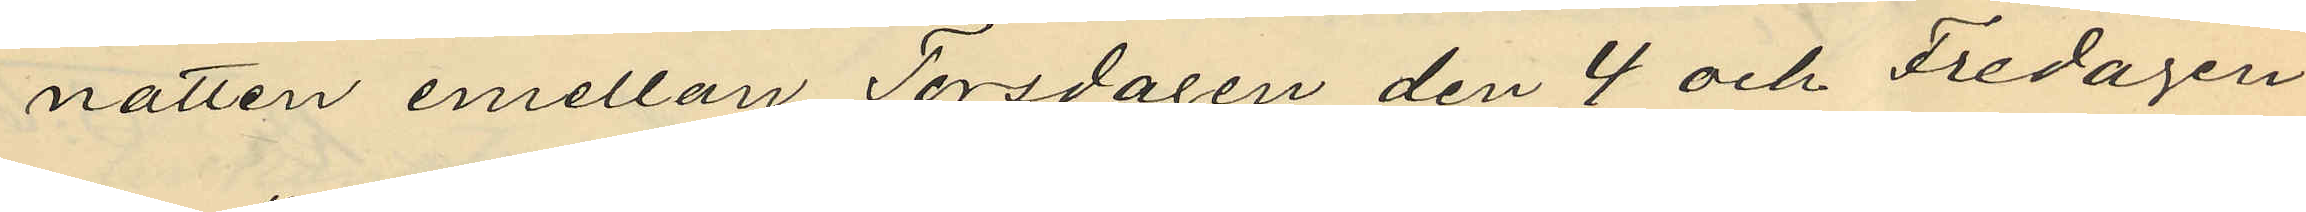natten emellan Torsdagen den 4 och Fredagen
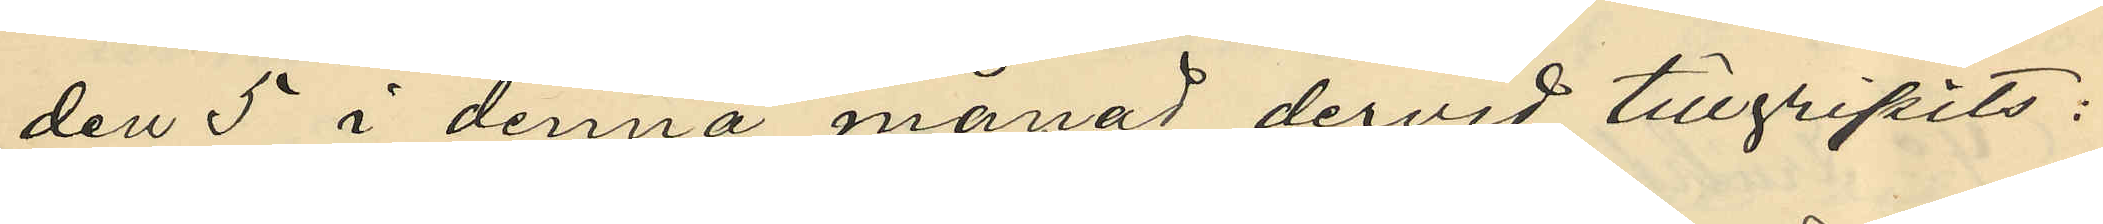den 5 i denna månad dervid tillgripits:
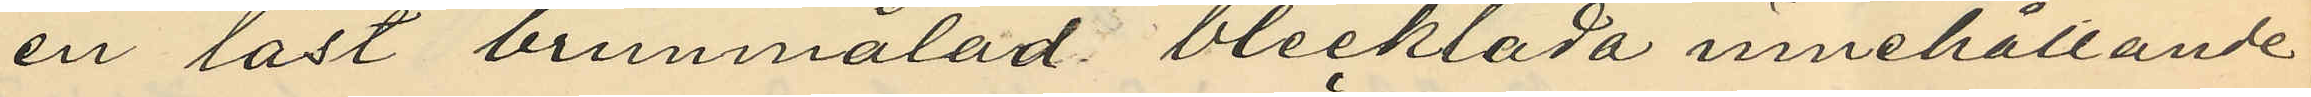en låst brunmålad blecklåda innehållande
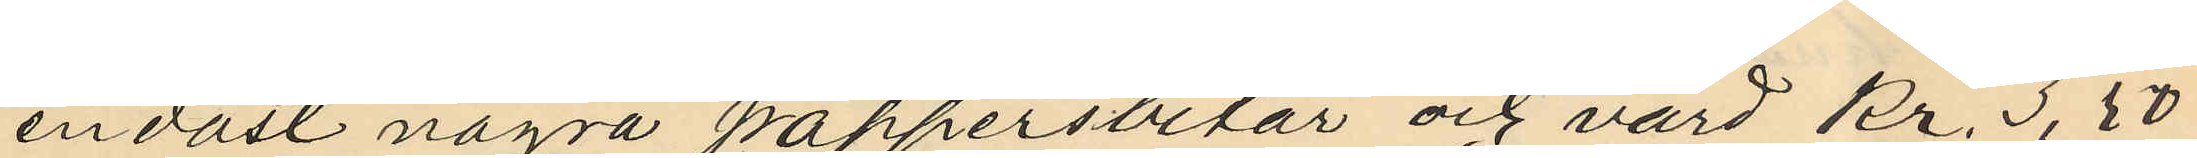endast några pappersbitar och värd kr. 3,50
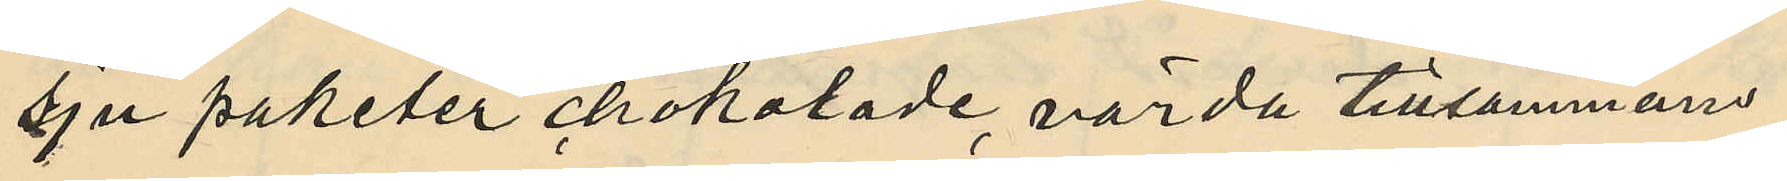sju paketer chokolade, värda tillsammans
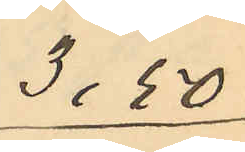3:50
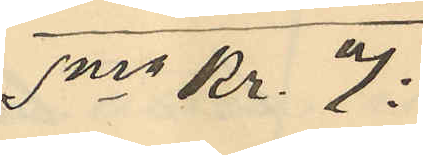Sma Kr. 7:
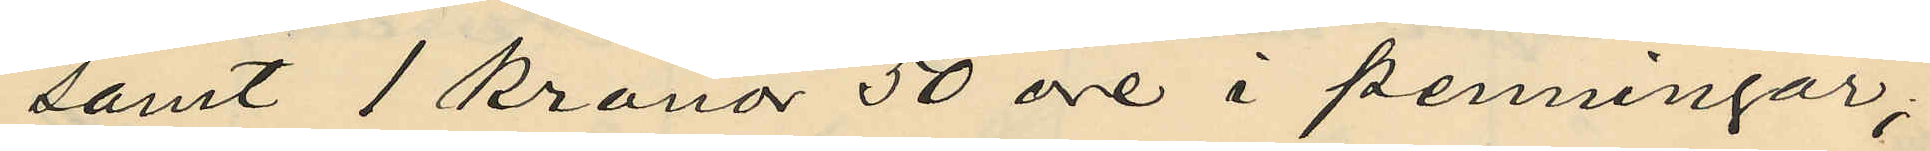samt 1 kronor 50 öre å penningar;
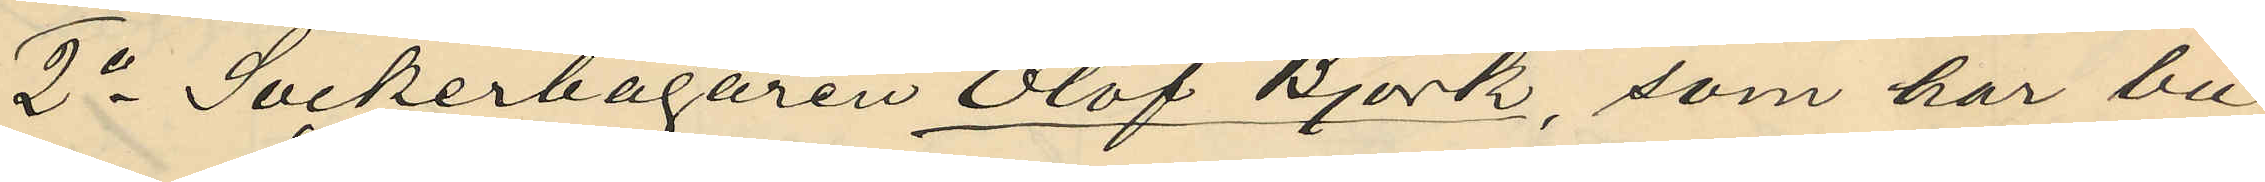2o Sockerbagaren Olof Björk, som har bu¬
